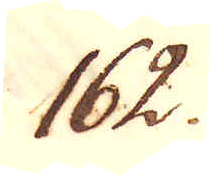162.
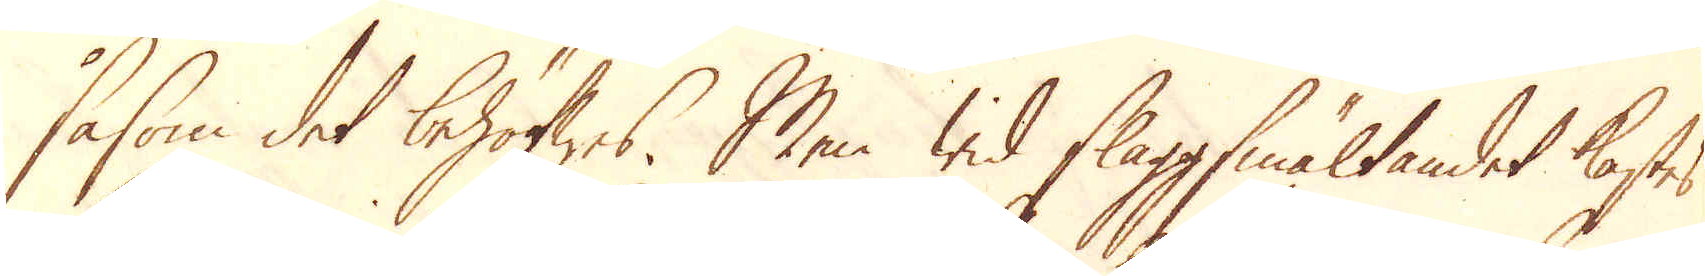såsom det behöfwas. Men wid slaggsmältandet kastes
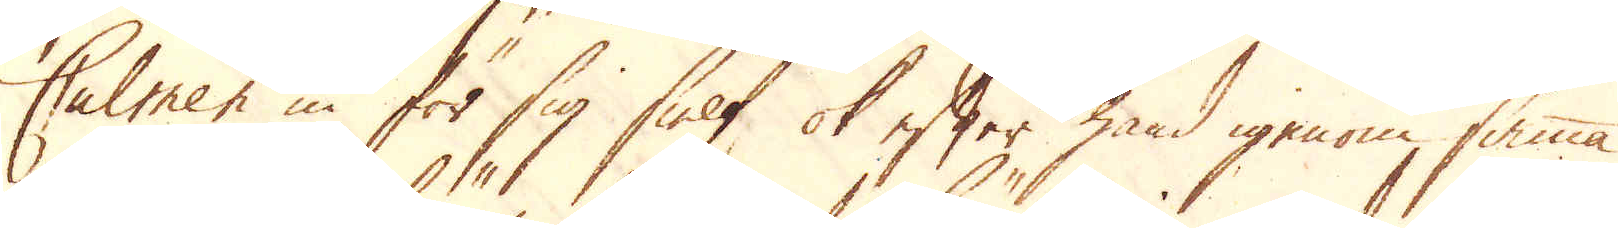Calmen in för sig sielf ok efter hand igenom samma
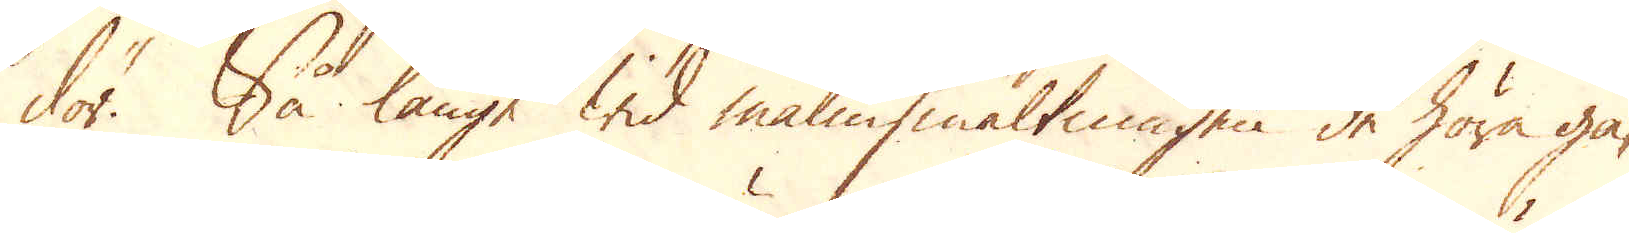dör. Så länge wid malmsmältningen de höra gä-
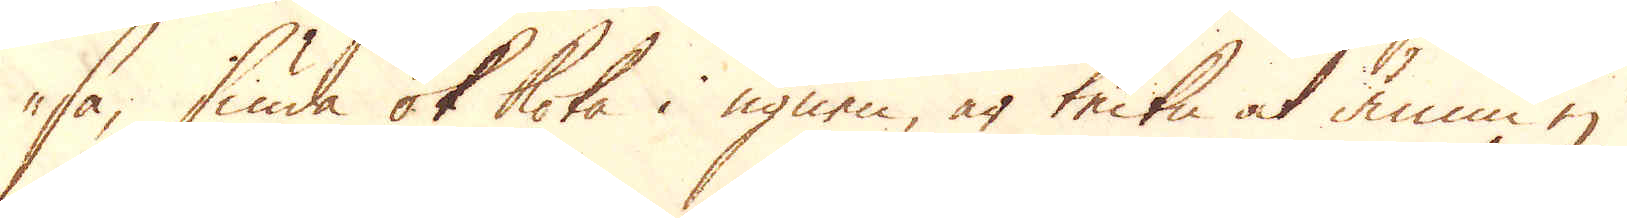sa, siuda ok koka i ugnen, är tecken at ännu ej
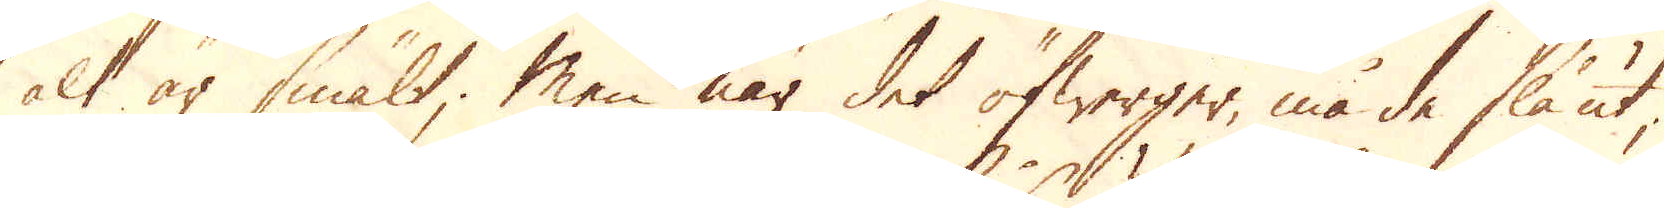alt är smält; Men när det öfwerger, må de slå ut,
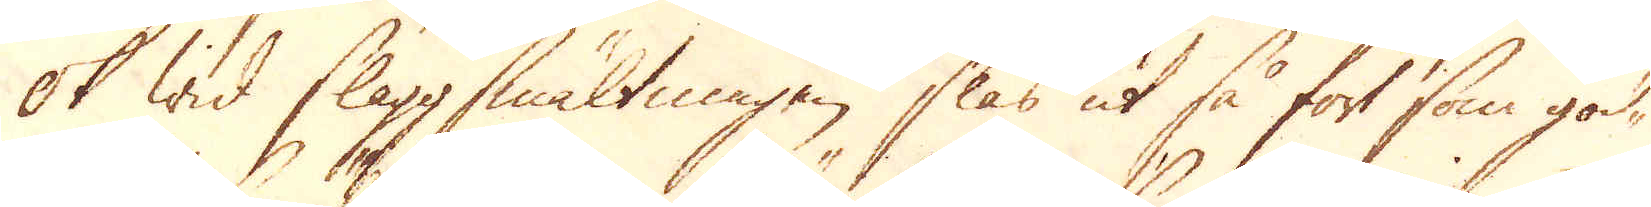ok wid slaggsmältningen slås ut så fort som god-
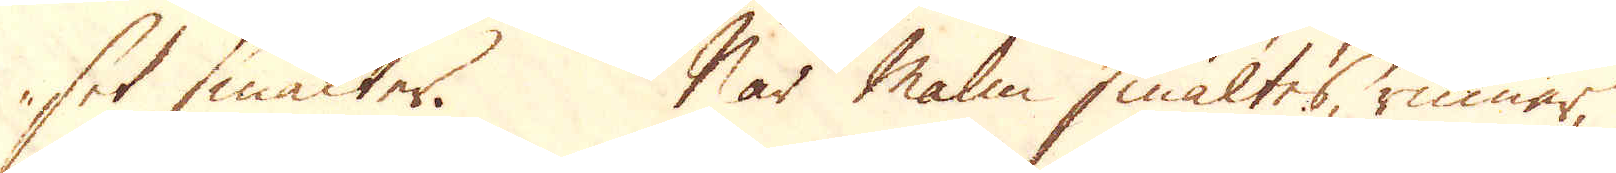set smälter. När Malm smältes, rinner,
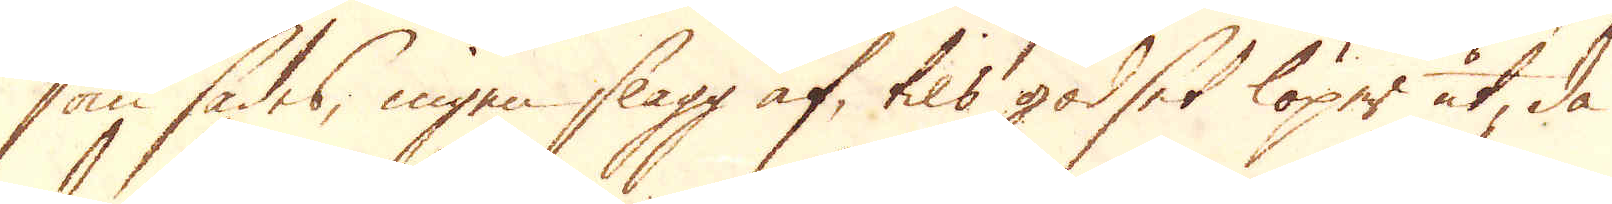som sades, ingen slagg af, tils godset löper ut, då
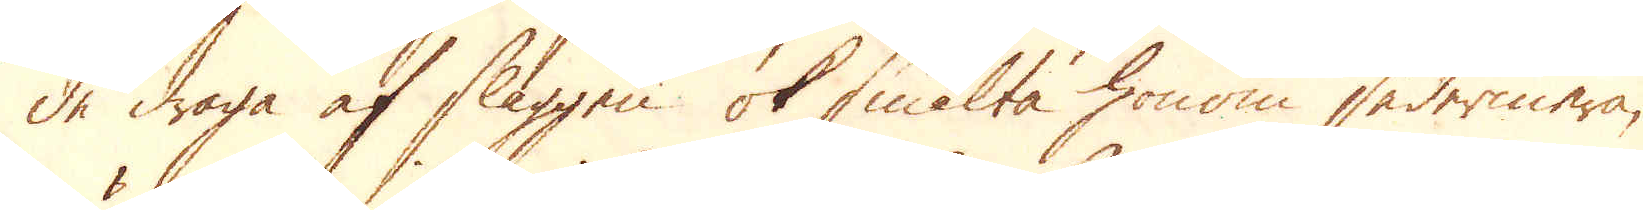de draga af slaggen ok smälta honom sedermera,
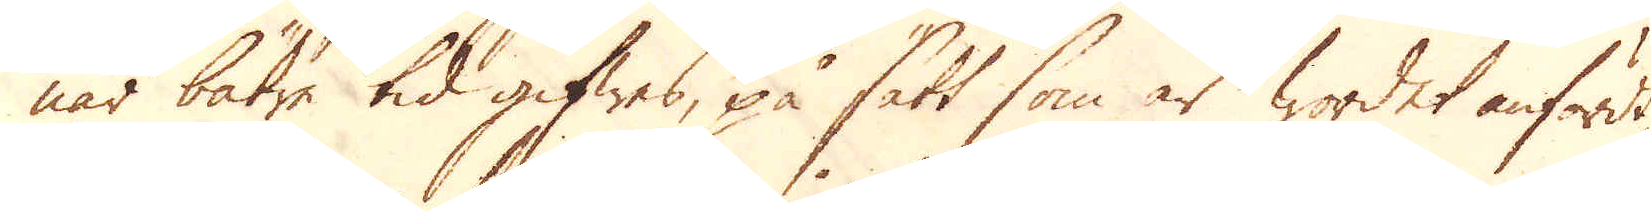när bätre tid gifwes, på sätt som är wordet anfördt,
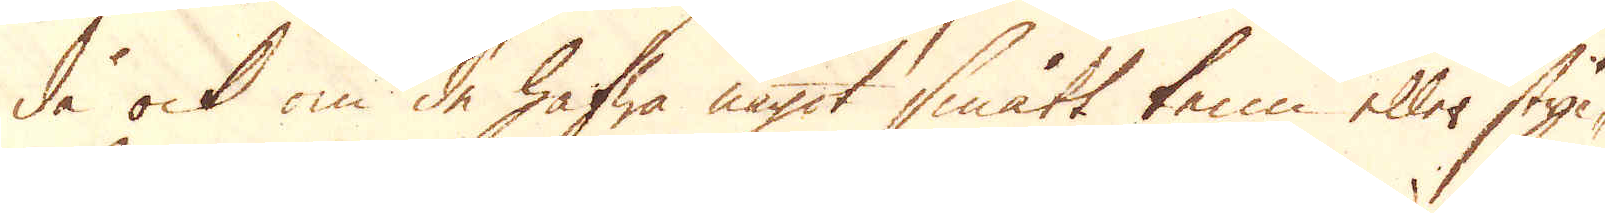de ock om de hafwa något smått tenn eller styc-
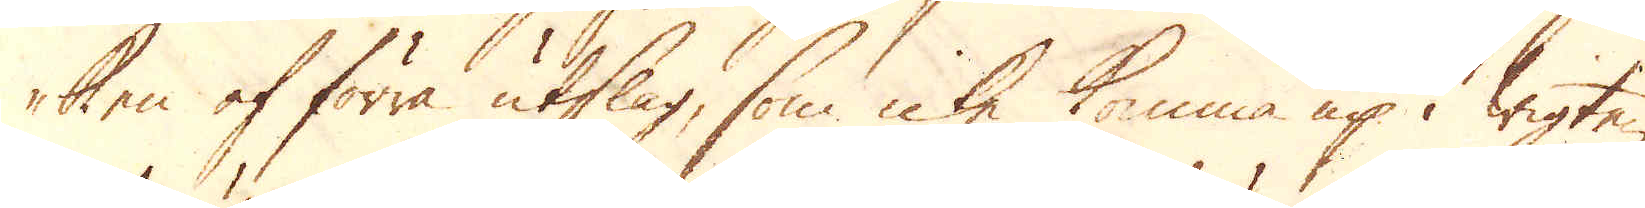ken af förra utslag, som icke komma up i wigten
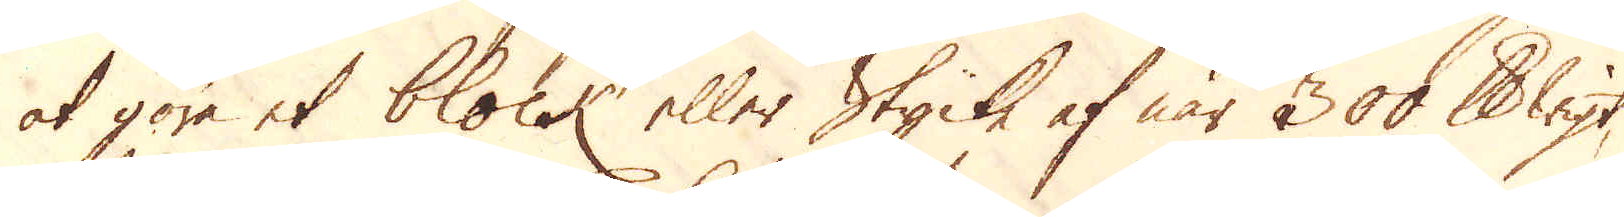at göra et block eller Stycke af när 300 skålpund wigt,
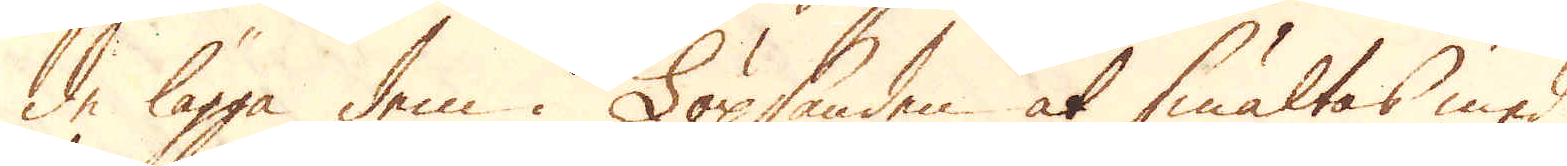de lägga dem i Löpsanden at smältas med
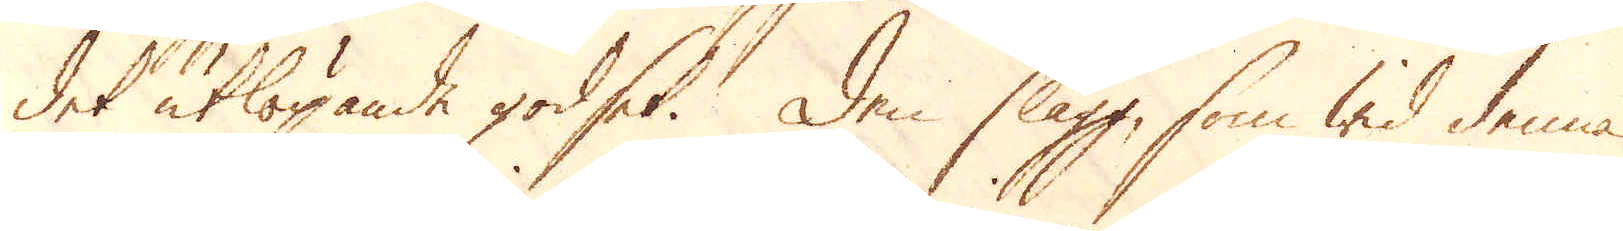det utlöpande godset. Den slagg, som wid denna
